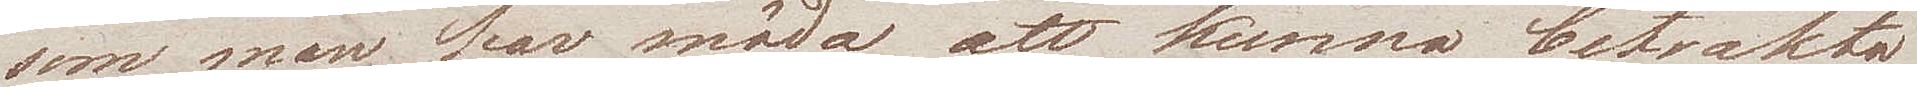som man har möda att kunna betrakta
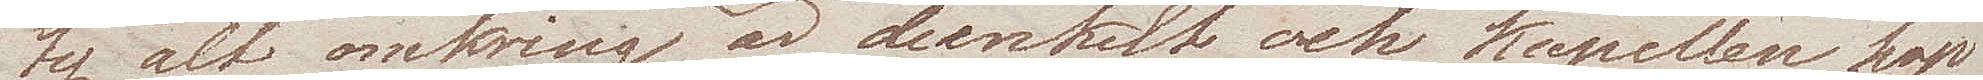ty alt omkring är dunkelt och kapellen hop¬
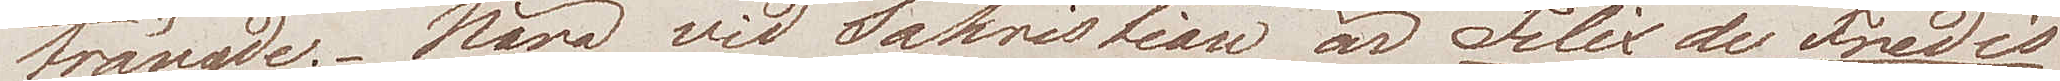trängde. Nära vid Sakristian är Felix de Fredis
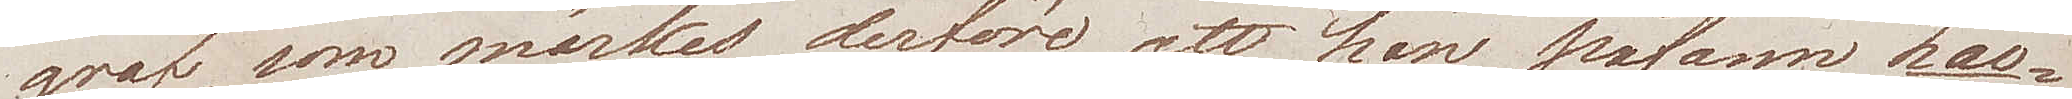graf, som märkes derföre att han påfann Lao¬
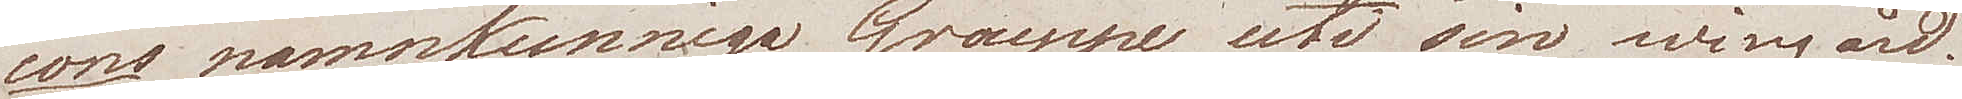cons namnkunniga Grouppe uti sin wingård.
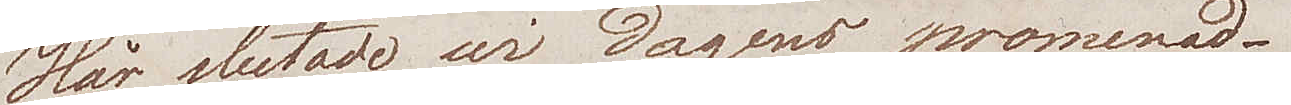Här slutade wi dagens promenad.
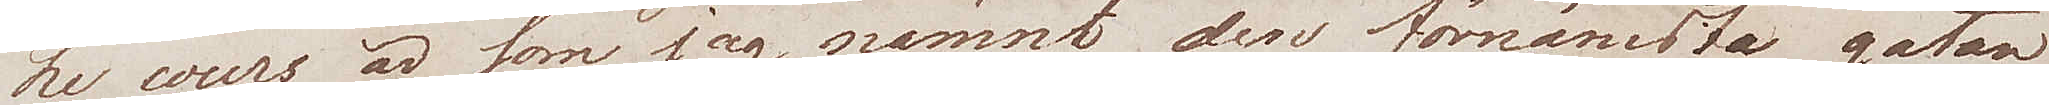Le cours är som jag nämnt den förnämsta gatan
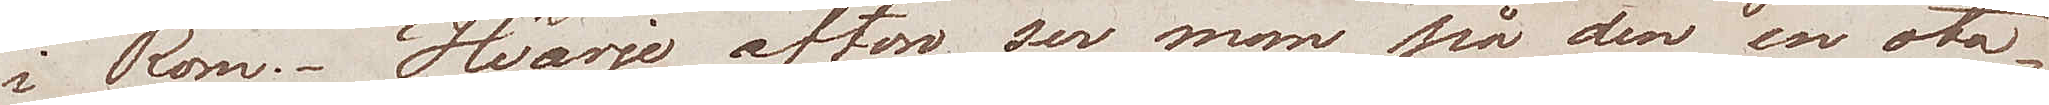i Rom. Hvarje afton ser man på den en ota¬
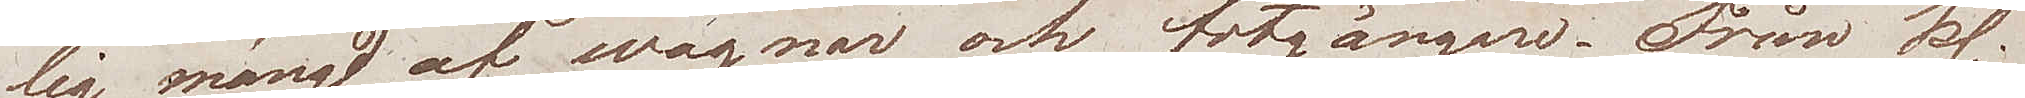lig mängd af wagnar och fotgängare. Från kl.
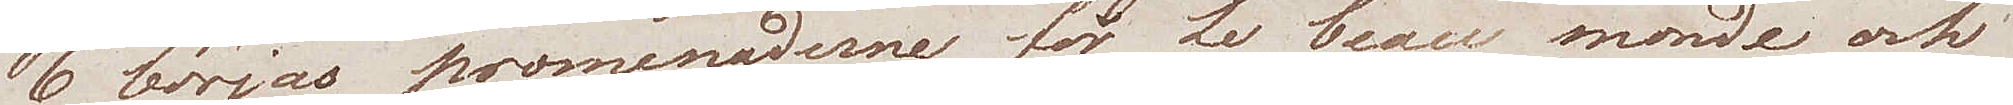6 börjas promenaderna för Le beau monde, och
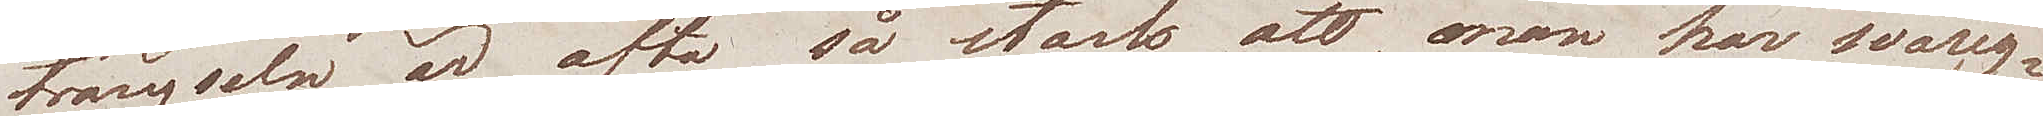trängseln är ofta så stark att, man har svårig¬
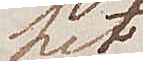het
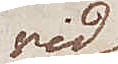vid
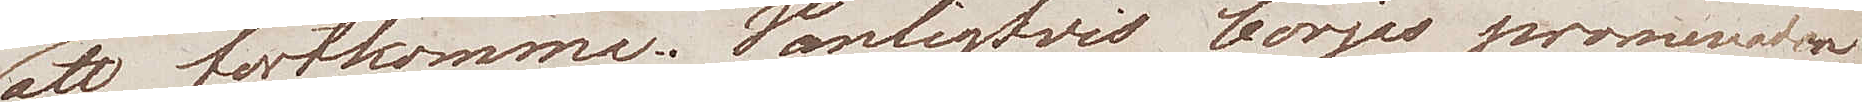att fortkomma. Vanligtvis börjar promenaden
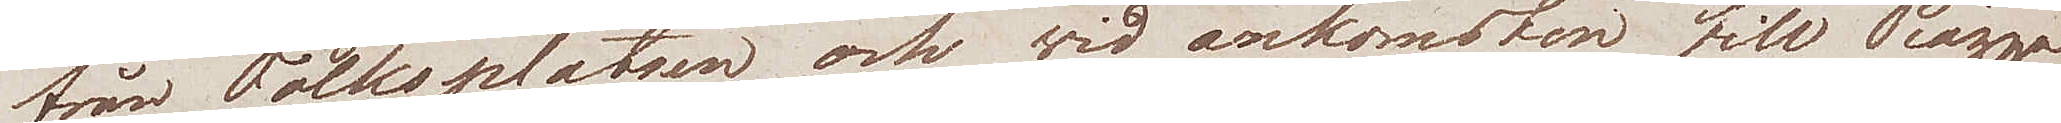från Folksplatsen och wid ankomsten till Piazza
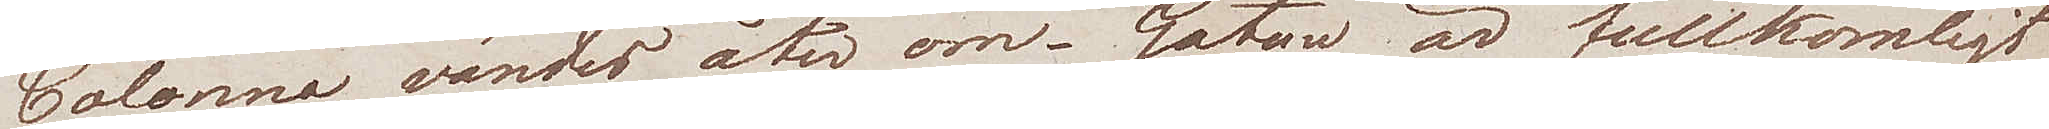Colonna vänder åter om. Gatan är fullkomligt
